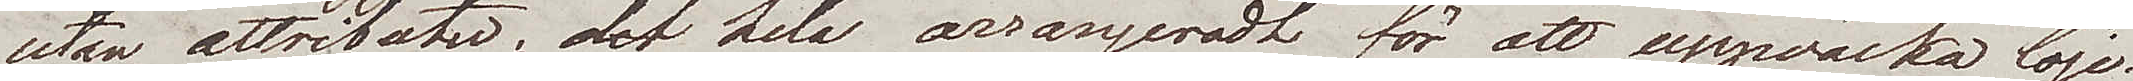utan attributer; det hela arrangeradt för att uppväcka löje.
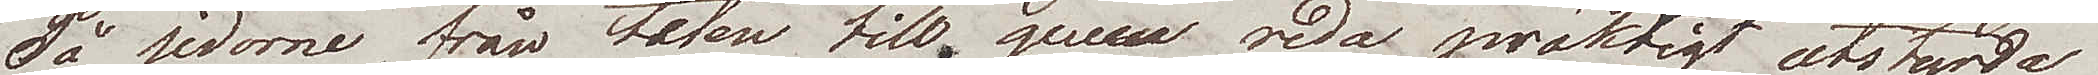På sidorne, från teten till queun redo präktigt utstyrda
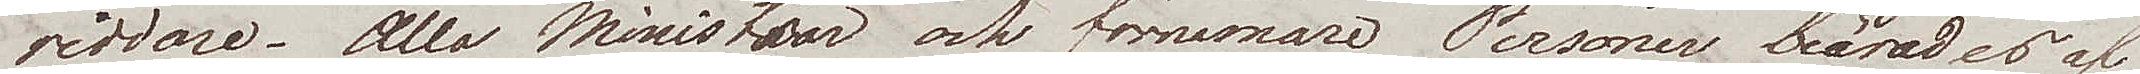riddare. Alla Ministrar och förnemare Personer, beärades af
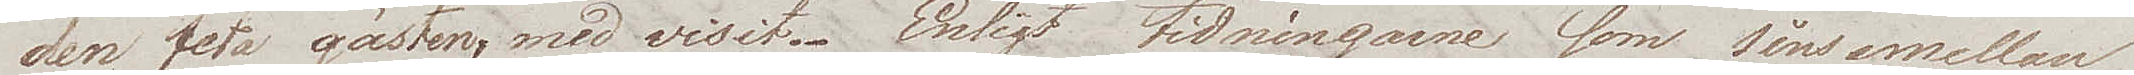den feta gästen, med visit. Enligt tidningarne, som sins emellan
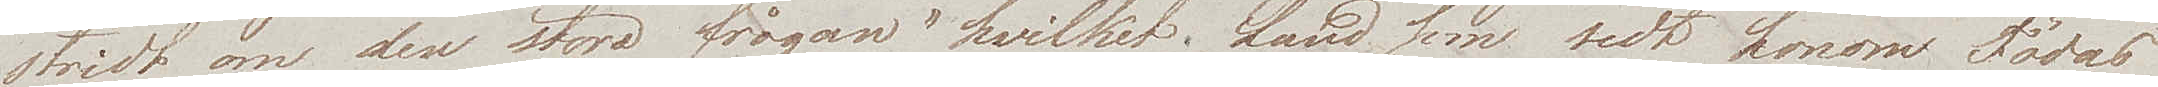stridt om den stora frågan "hvilket land som sedt honom Födas
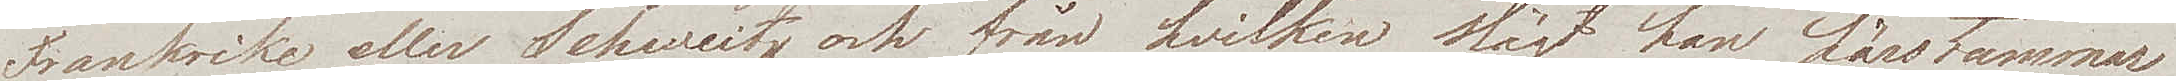Frankrike eller Schweitz och från hvilken slägt han härstammar
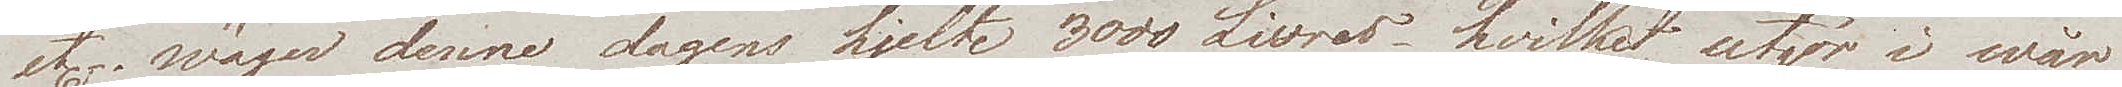etc., wäger denne dagens hjelte 3000 Livres hvilket utgör i wår
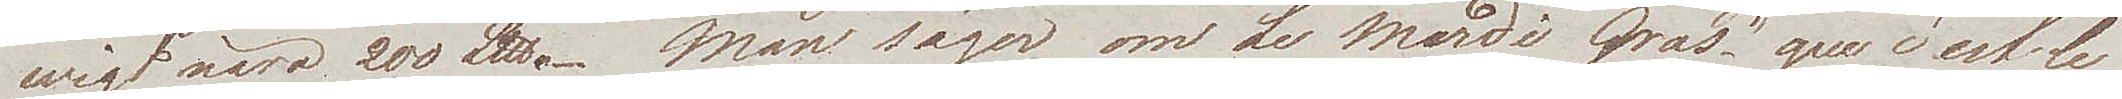wigt nära 200℔. Man säger om Le Mardi Gras "que c'est le 
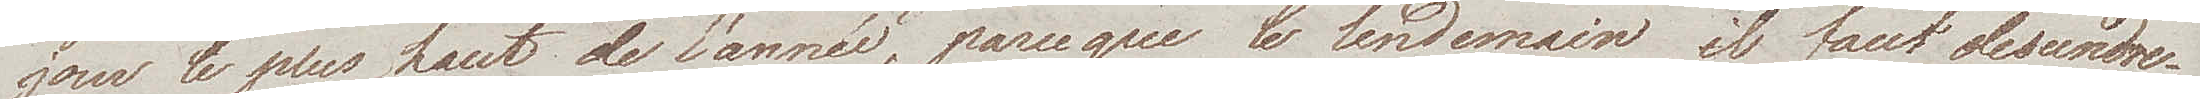jour le plus haut de l'année, parceque le lendemain il faut descendre.
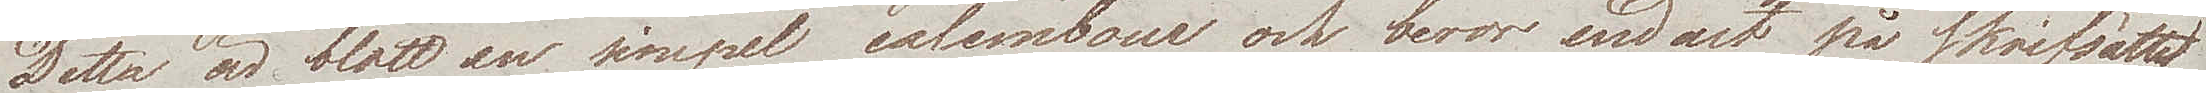Detta är blott en simpel calembour och beror endast på skriftsättet
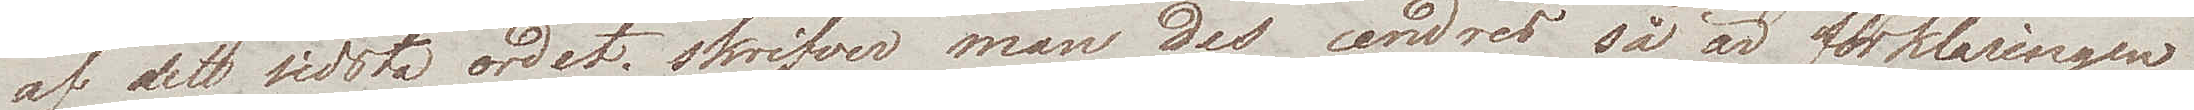af det sista ordet; skrifver man des cendres så är förklaringen
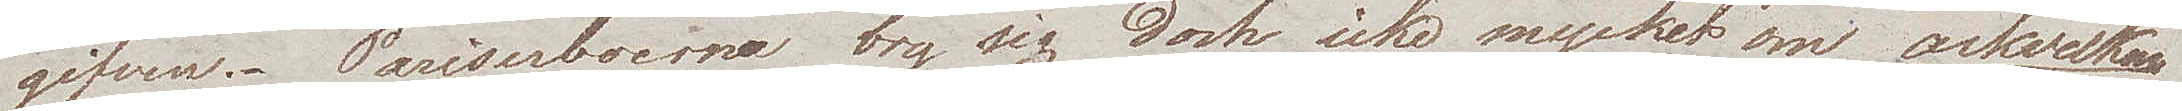gifven. Pariserboerne bry sig dock icke mycket om askveckan 
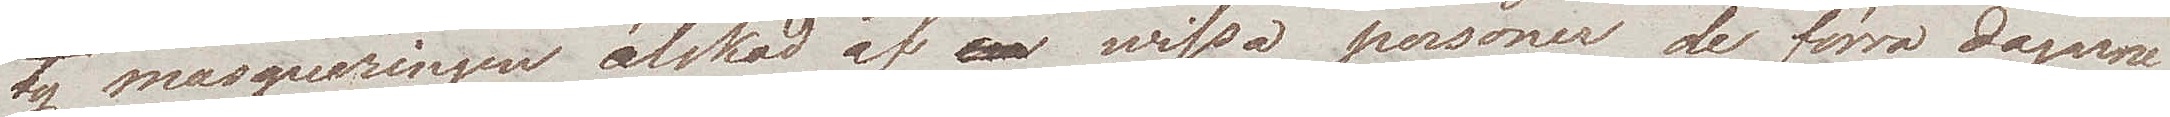ty masqueringen älskad af vissa personer de förra dagarne
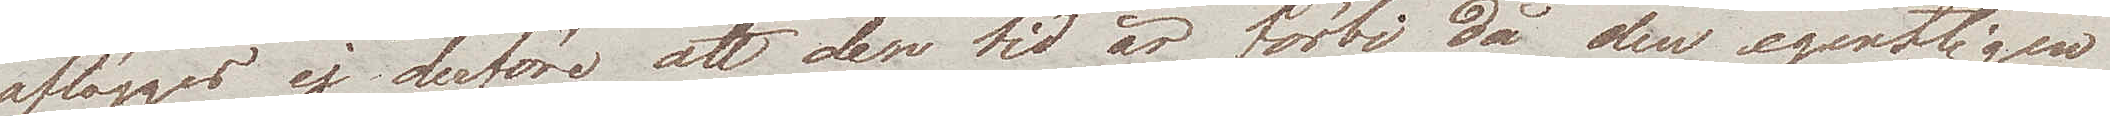aflägges ej derföre att den tid är förbi då den egentligen
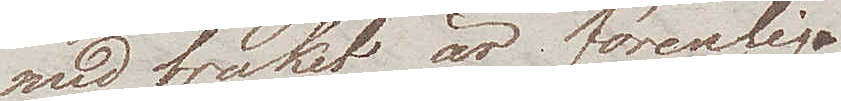med bruket är förenlig. 
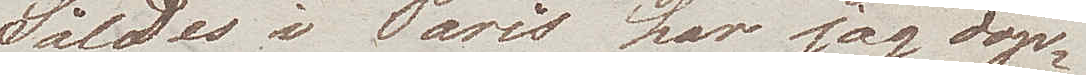Således i Paris har jag dop¬
